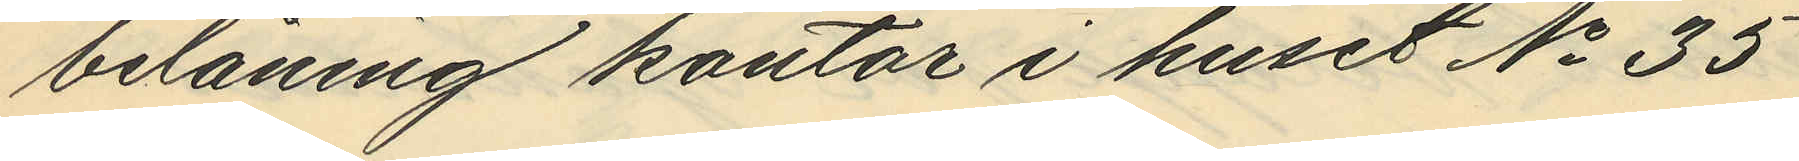belåning kontor i huset No 35
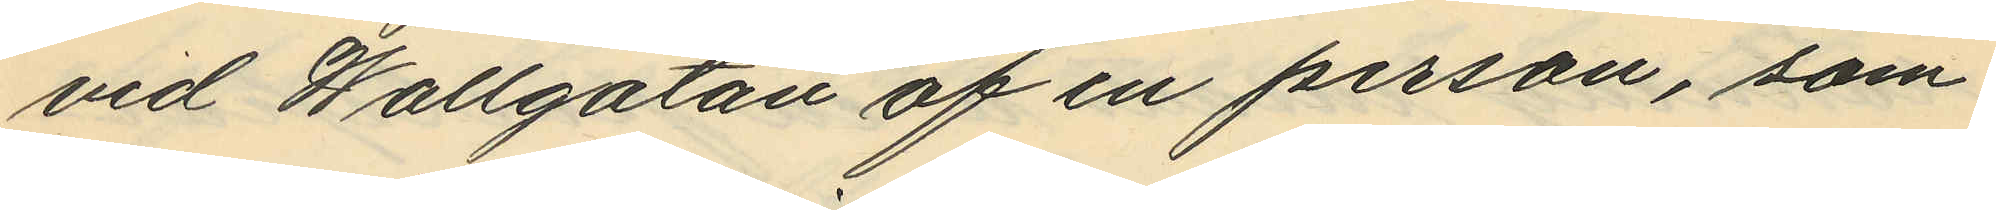vid Wallgatan af en person, som
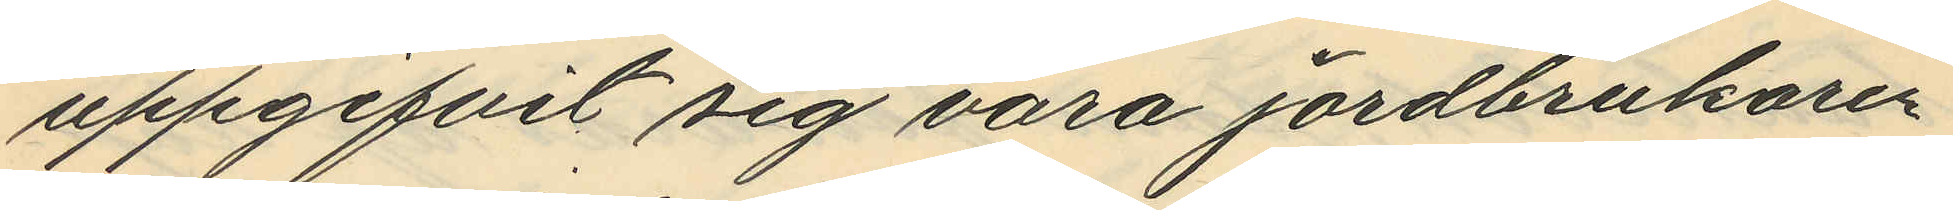uppgifvit sig vara jordbrukaren
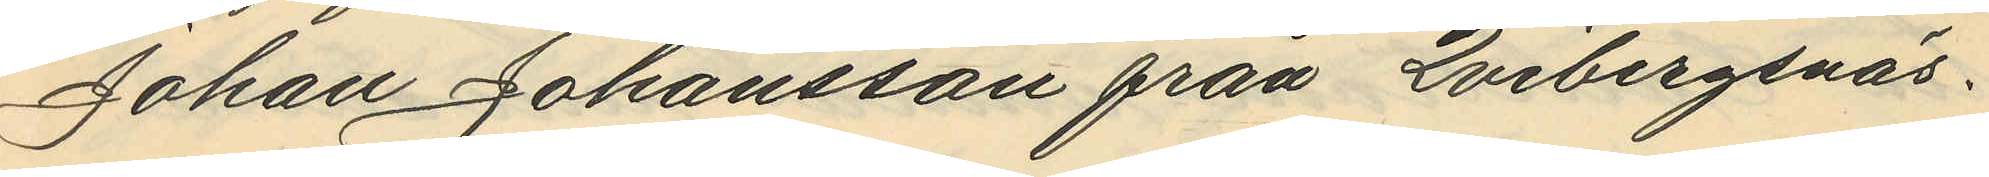Johan Johansson från Qvibergsnäs.
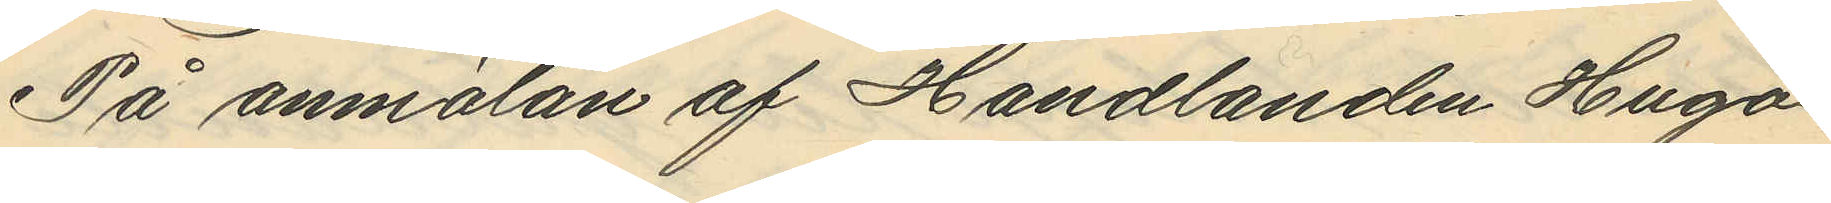På anmälan af Handlanden Hugo
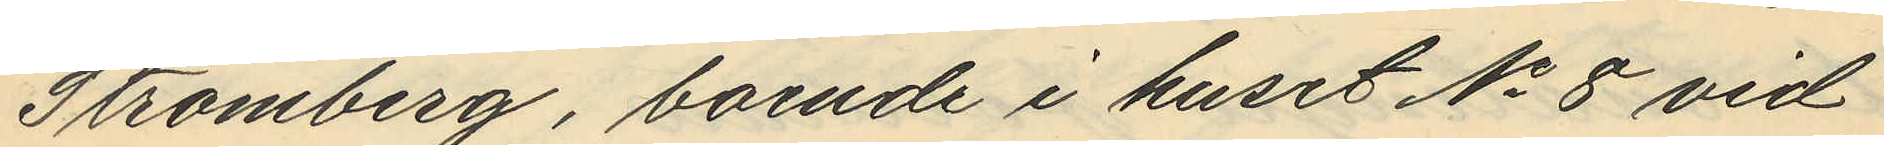Strömberg, boende i huset No 8 vid
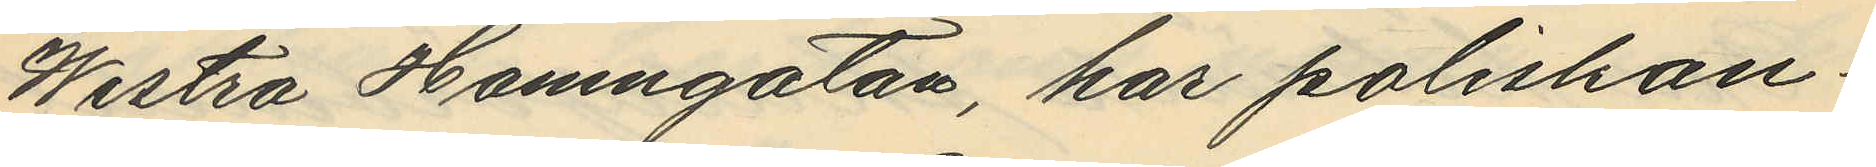Westra Hamngatan, har poliskon¬
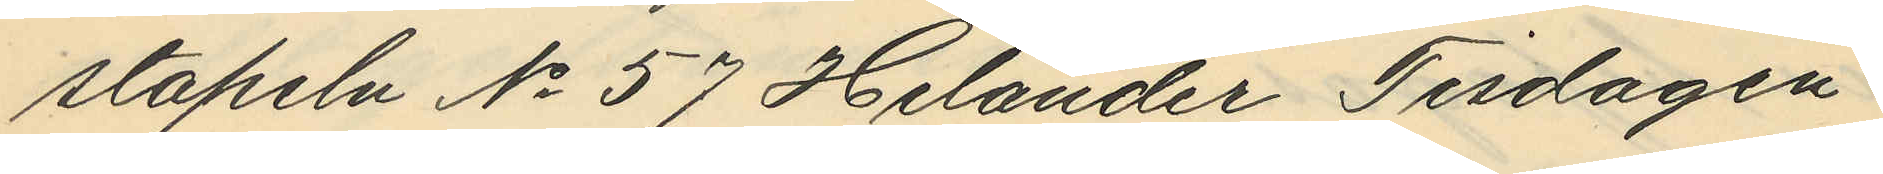stapeln No 57 Helander Tisdagen
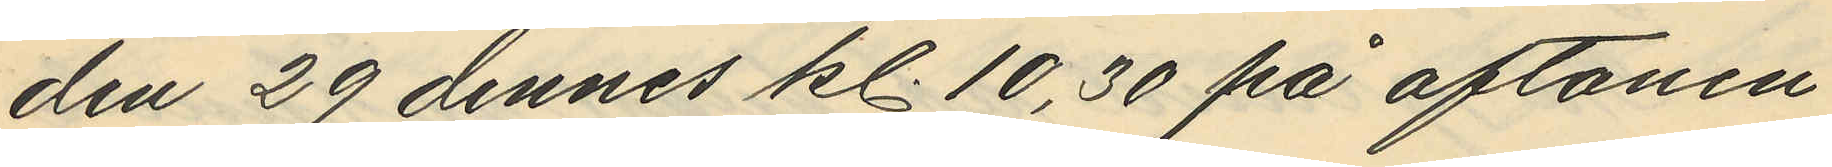den 29 dennes kl. 10,30 på aftonen
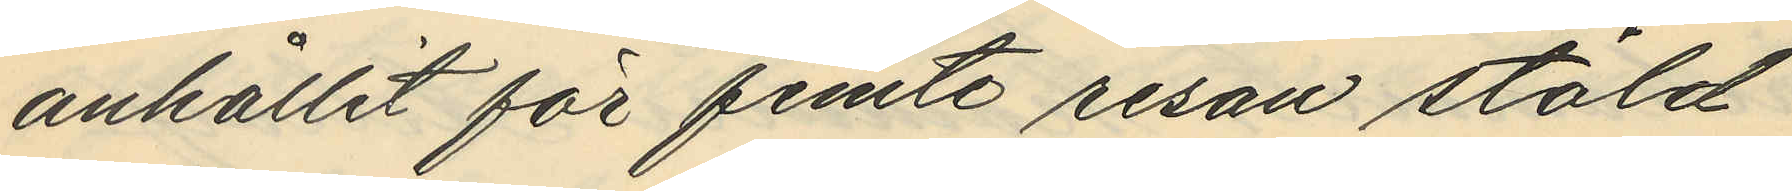anhållit för femte resan stöld
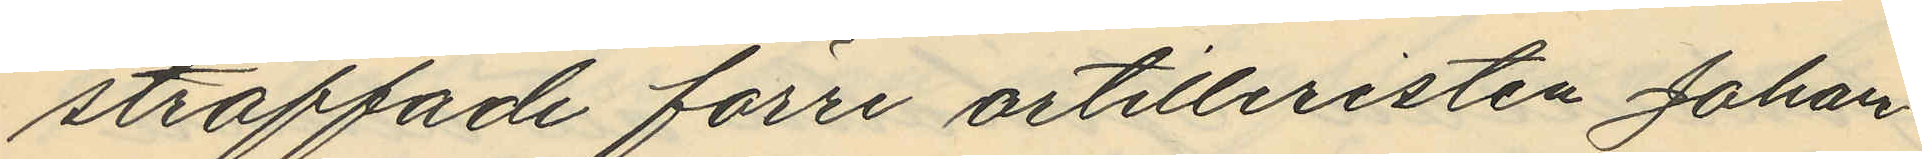straffade förre artilleristen Johan
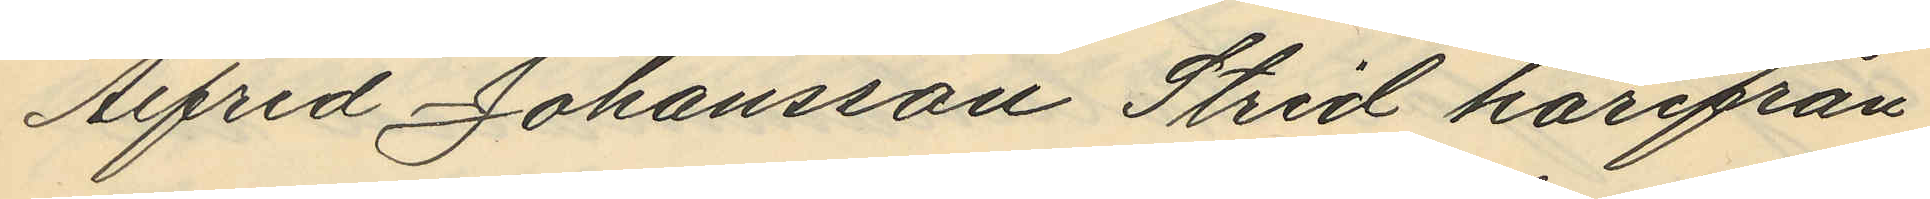Alfred Johansson Strid härifrån
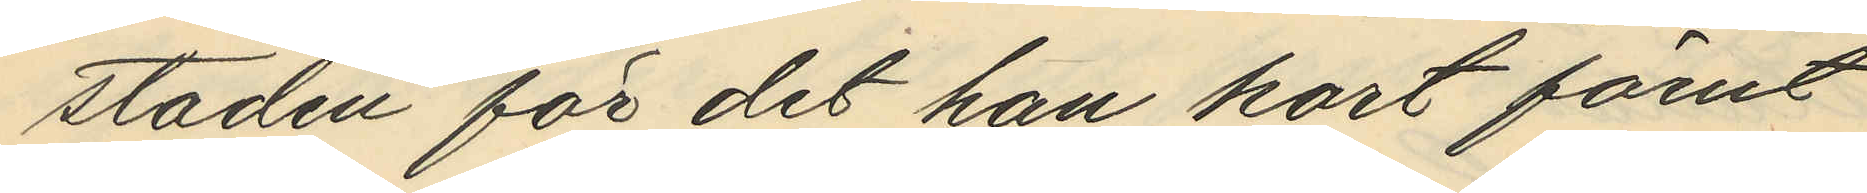staden för det han kort förut
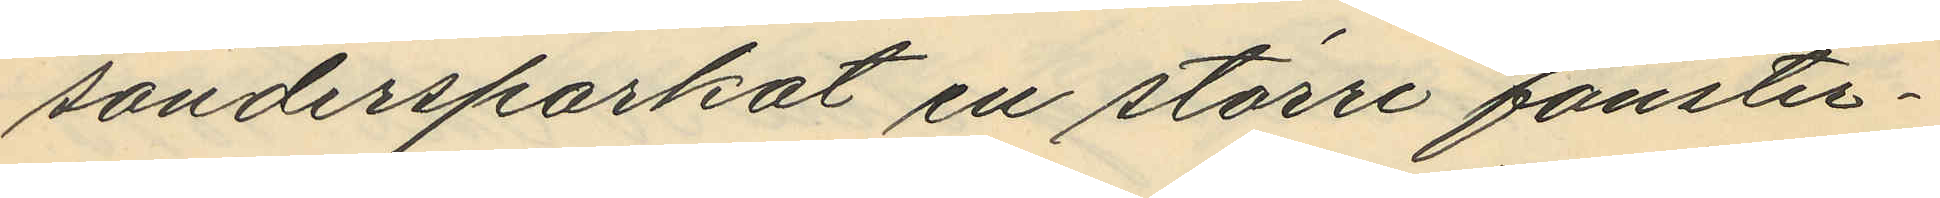söndersparkat en större fönster¬
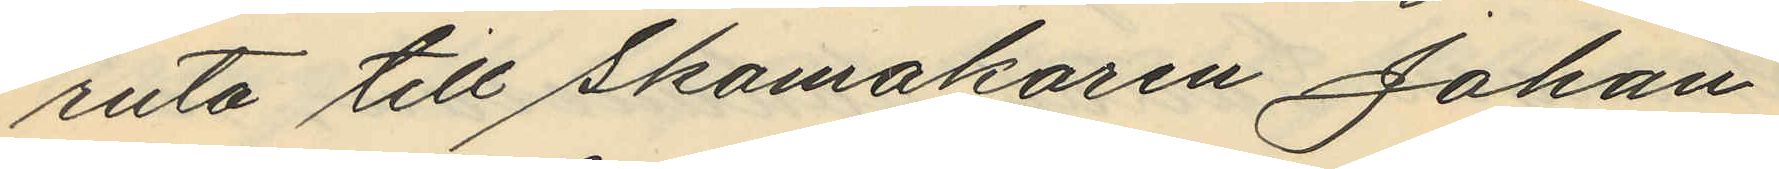ruta till Skomakaren Johan
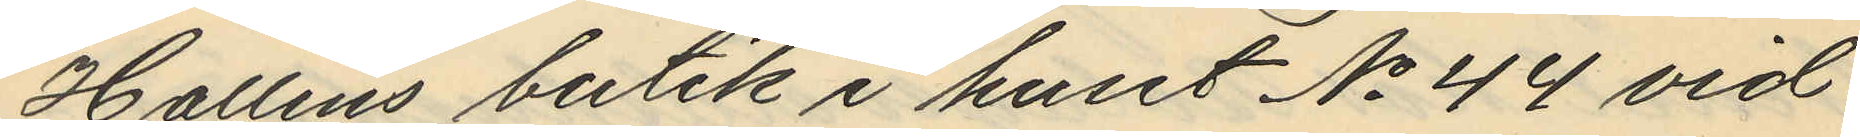Hallins butik i huset No 44 vid
